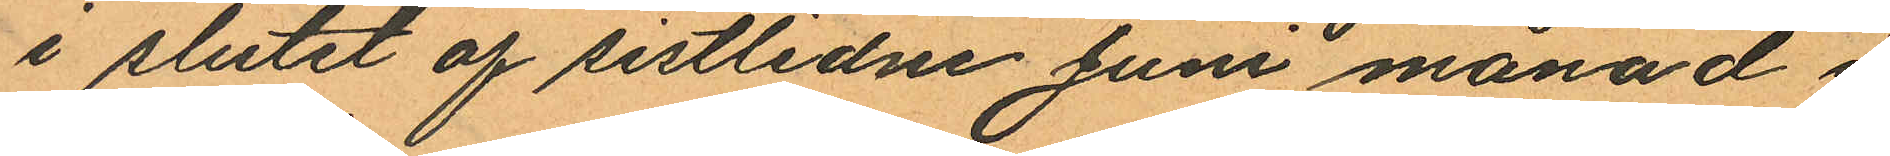i slutet af sistlidne Juni månad i
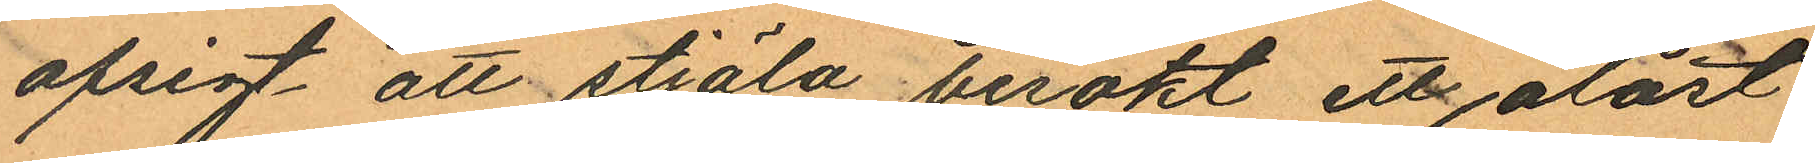afsigt att stjäla besökt ett olåst
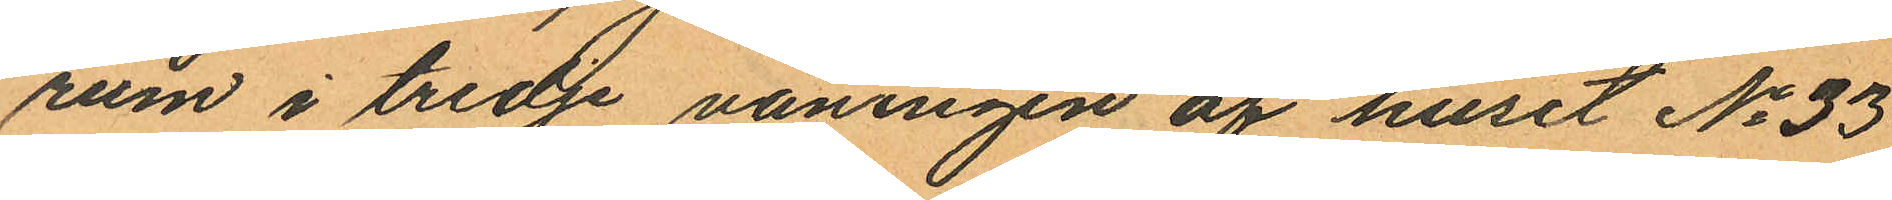rum i tredje våningen af huset No 33
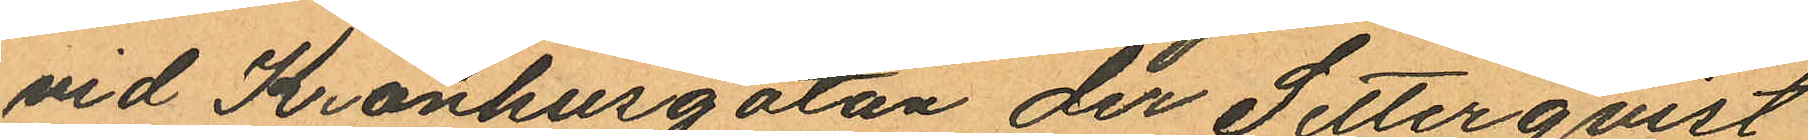vid Kronhusgatan der Setterqvist
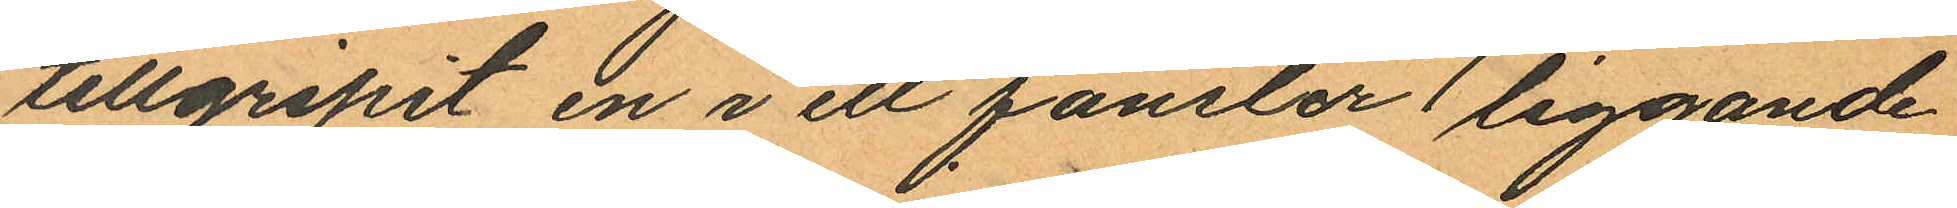tillgripit en i ett fönster liggande
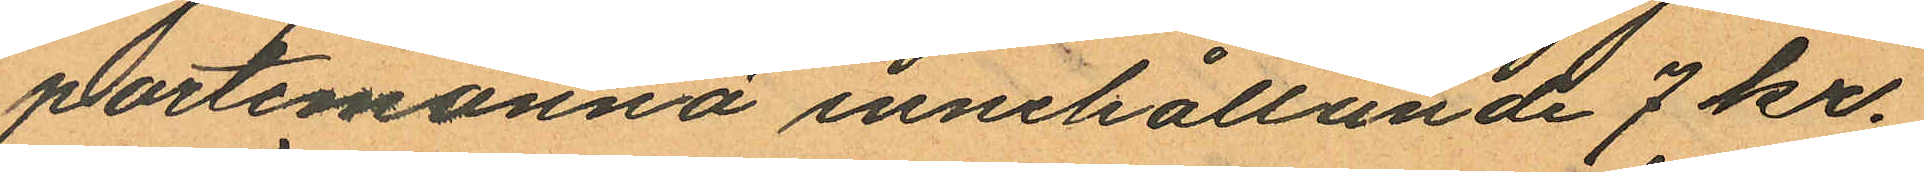portemonnä innehållande 7 kr.
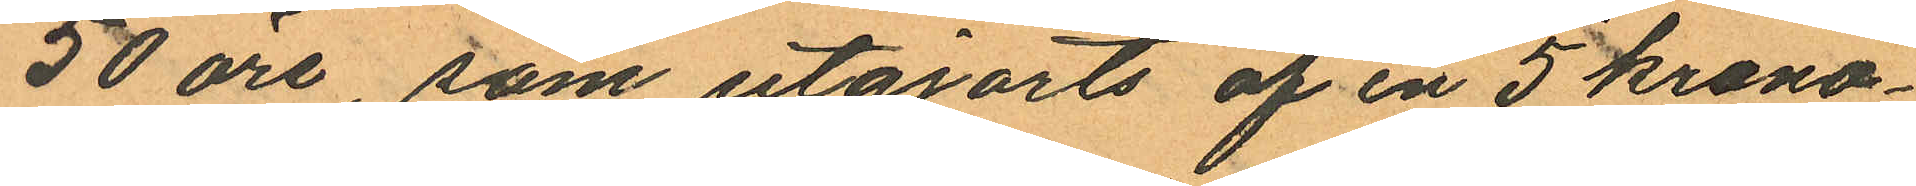50 öre, som utgjorts af en 5 krono¬
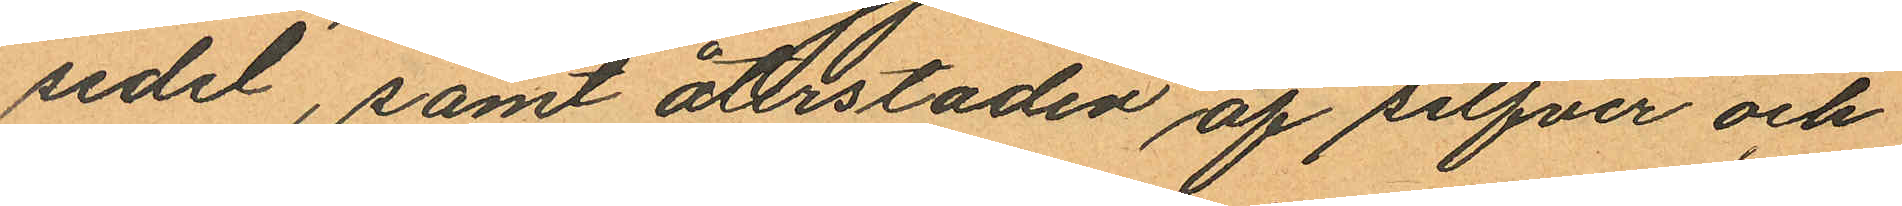sedel, samt återstoden af silfver och
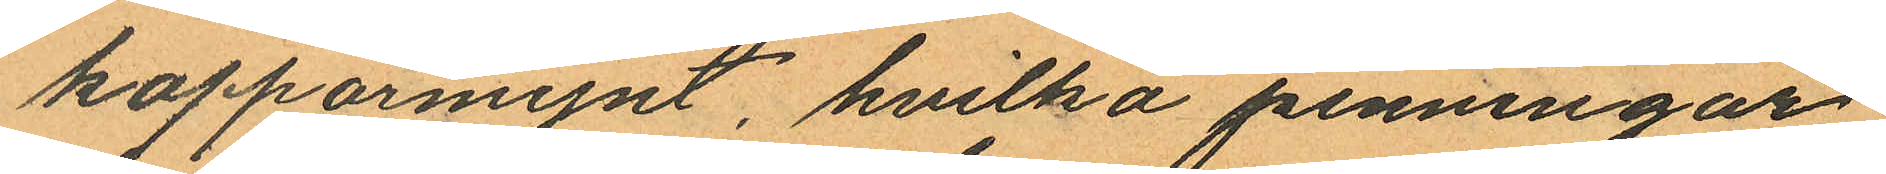kopparmynt, hvilka penningar
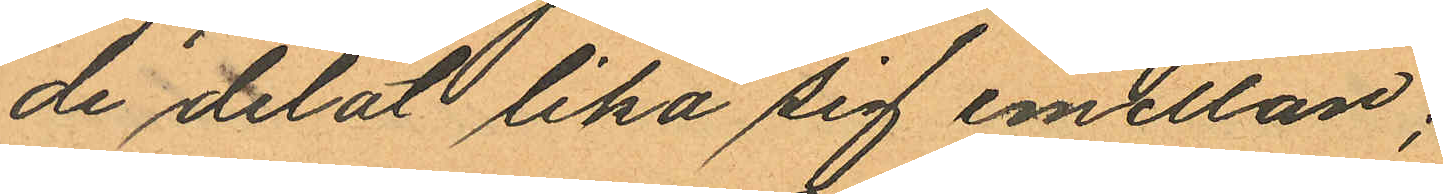de delat lika sig emellan;
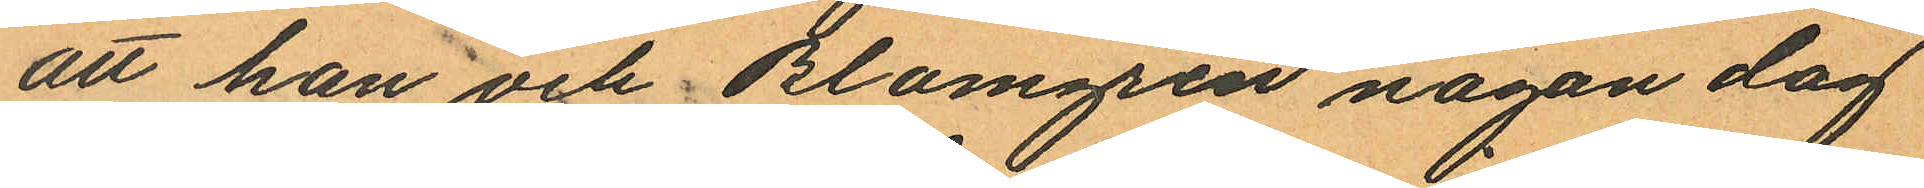att han och Blomgren någon dag
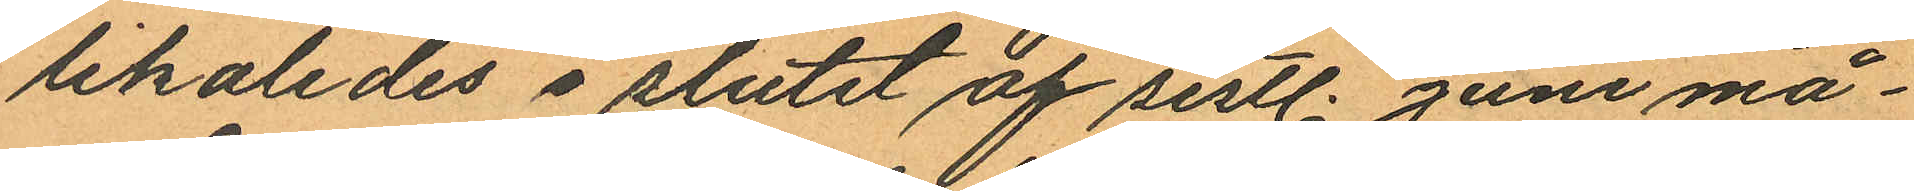likaledes i slutet af sistl. Juni må¬
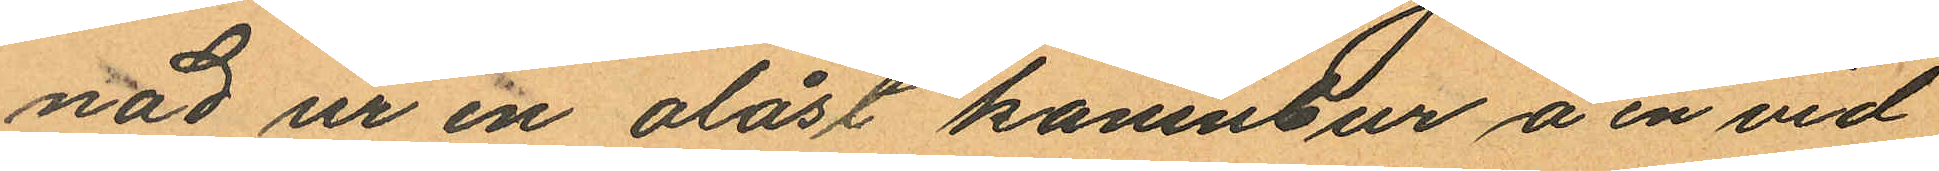nad ur en olåst kaninbur å en vid
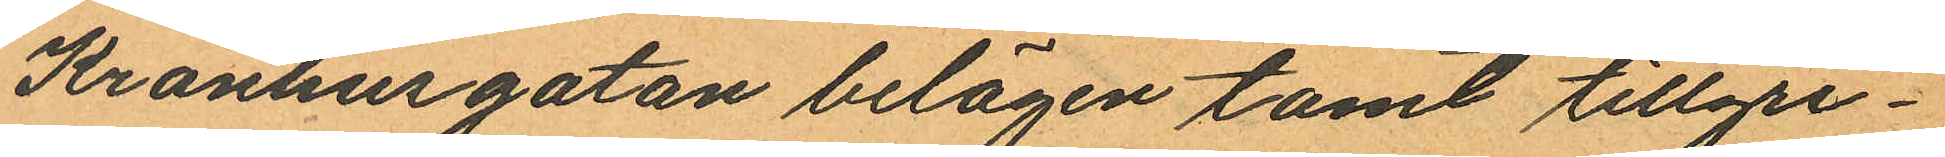Kronhusgatan belägen tomt tillgri¬
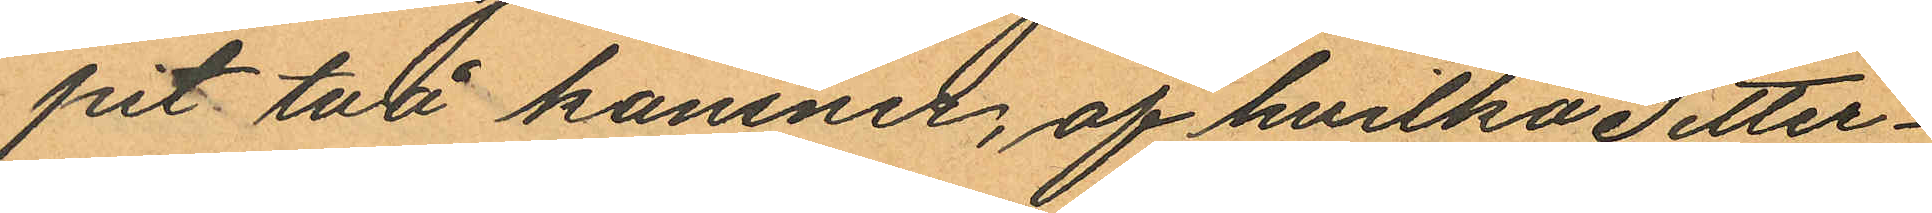pit två kaniner, af hvilka Setter¬
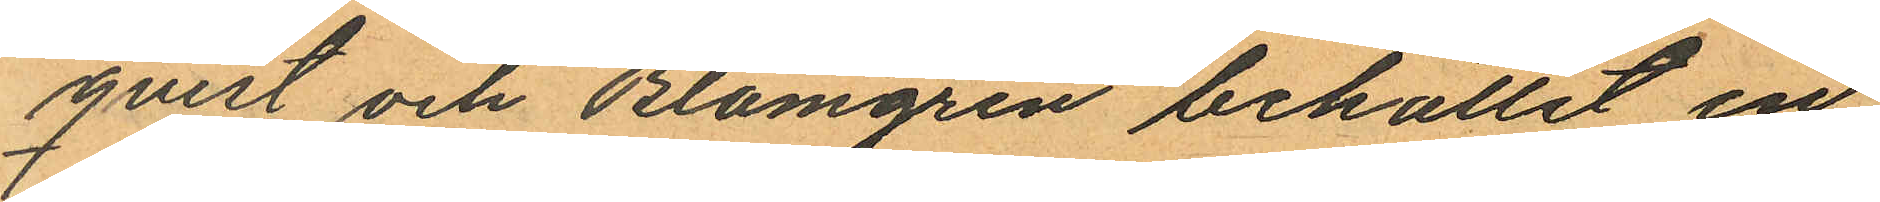qvist och Blomgren behållit en
